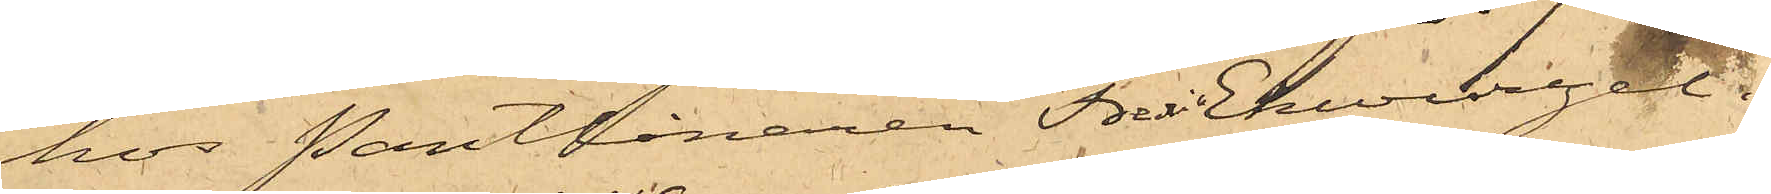hos Pantlånaren Fredric Ekwurzel i
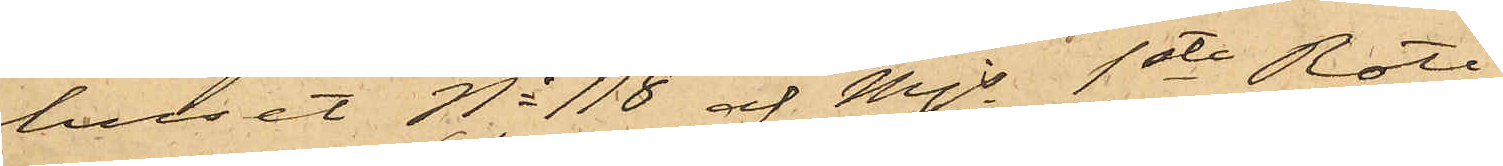huset No 118 af Mjs 1sta Rote.
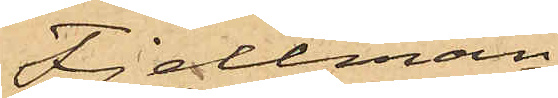Fjellman
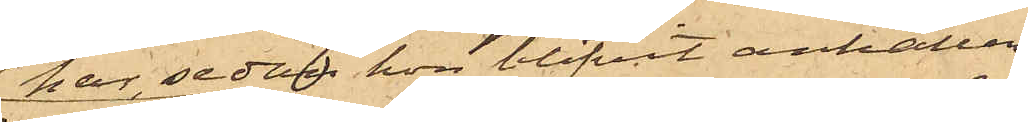har, sedan hon blifvit anhållen,
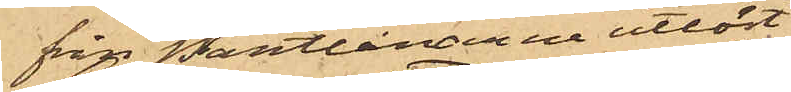från Pantlånarna utlöst.
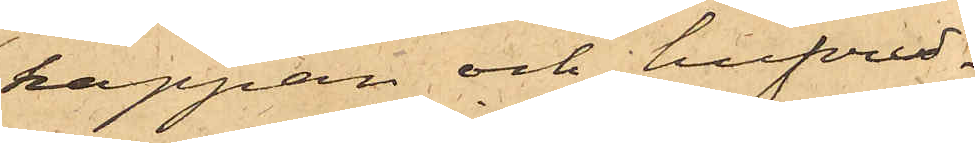kappan och hufvud¬
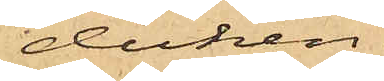duken.
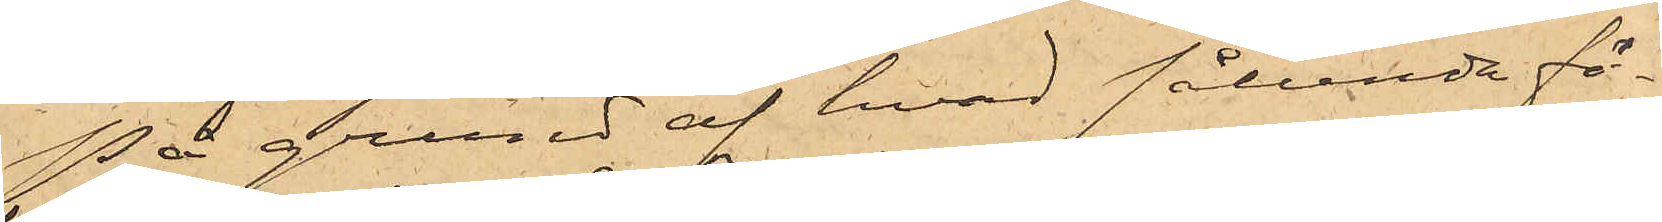På grund af hvad sålunda fö¬
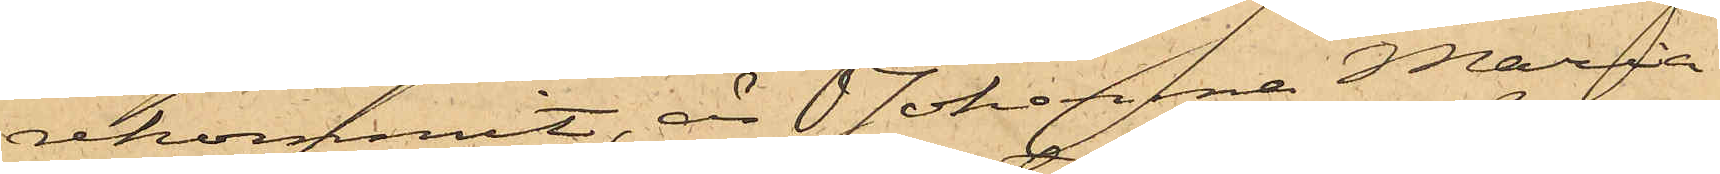rekommit, är Johanna Maria
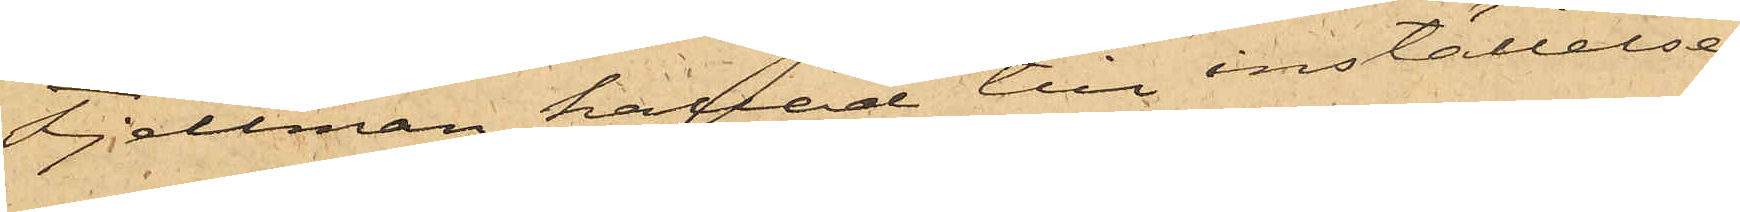Fjellman kallad till inställelse
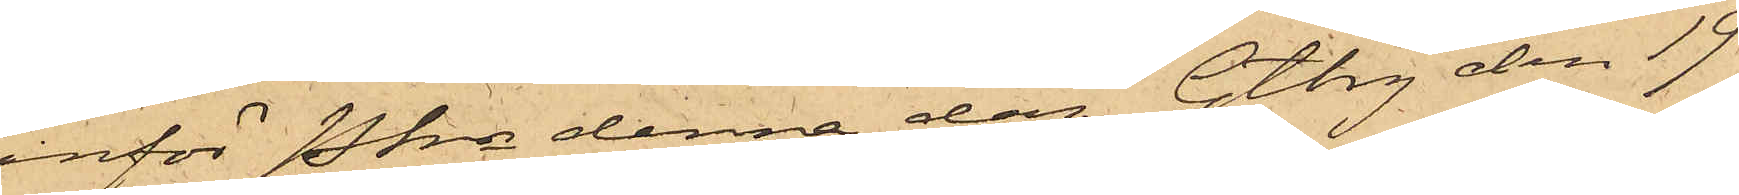inför Pkn denna dag. Gtbrg den 19
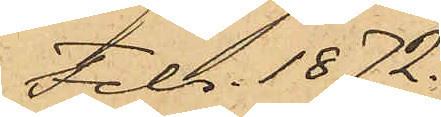Febr. 1872.
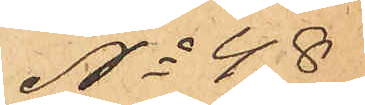No 48
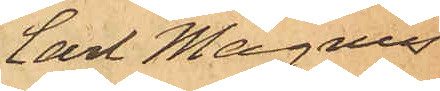Carl Magnus
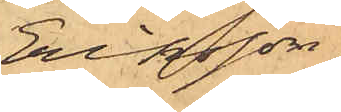Eriksson.
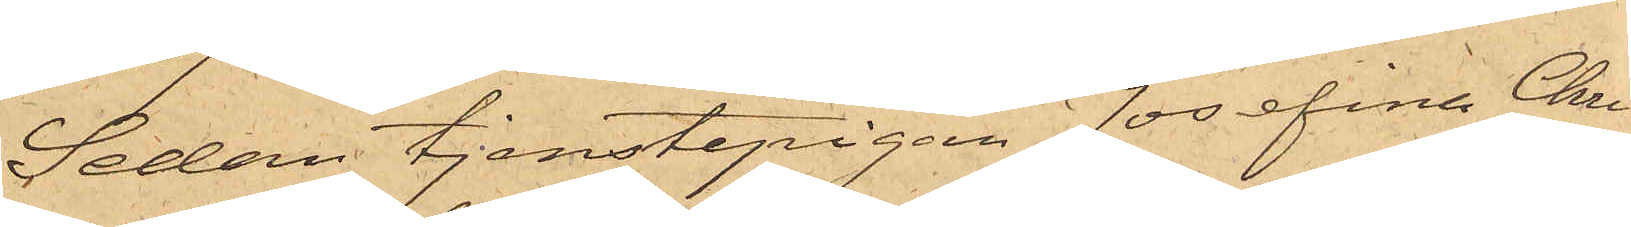Sedan tjenstepigan Josefina Chri¬
